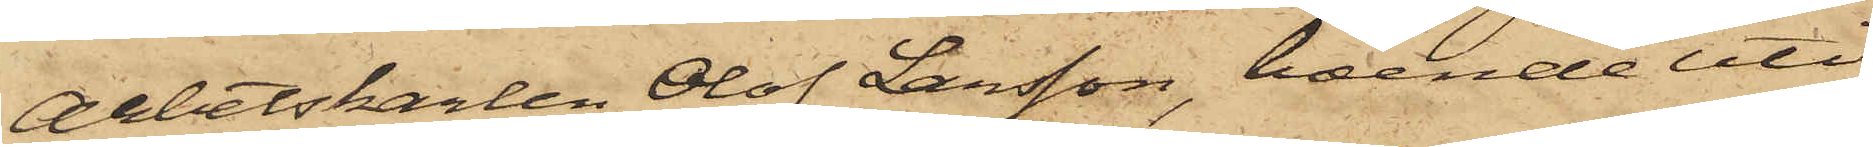Arbetskarlen Olof Larsson, boende uti
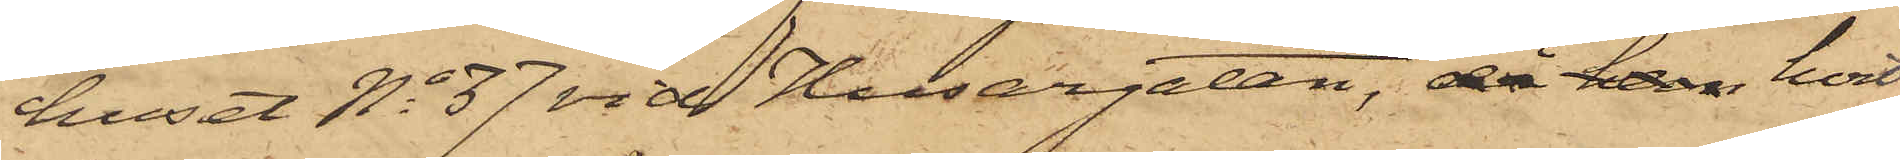huset No 37 vid Husargatan, då han hvil¬
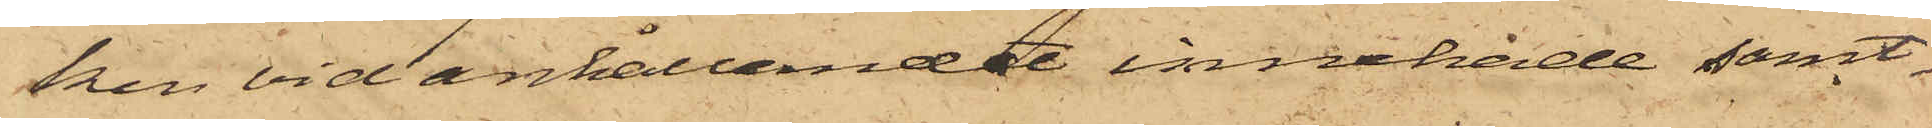ken vid anhållandet innehade samt¬
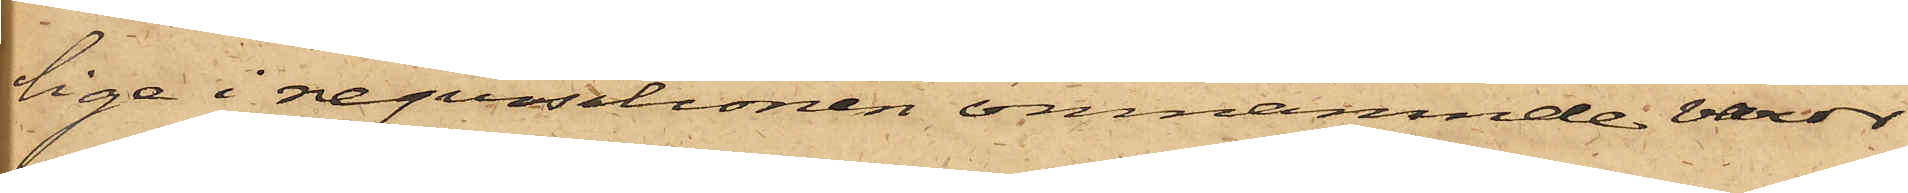lige i reqvisitionen omnämnde varor
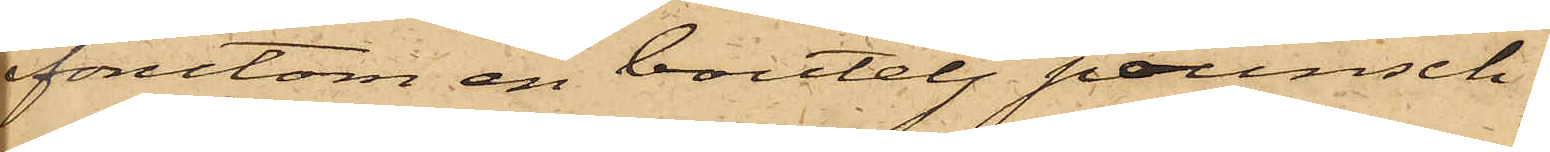förutom en boutelj pounsch.
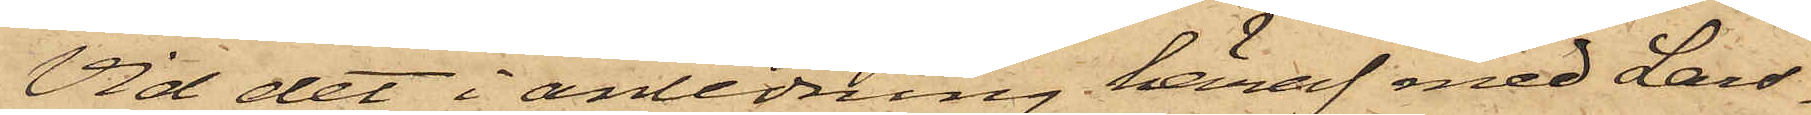Vid det i anledning häraf med Lars¬
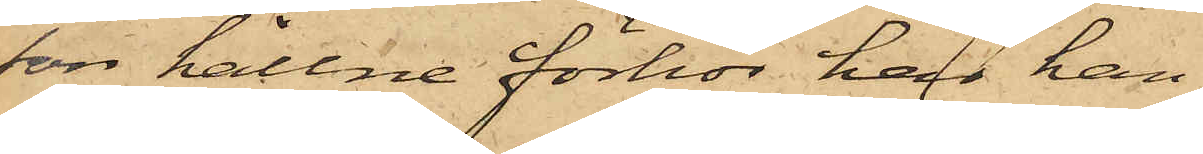son hållne förhör har han
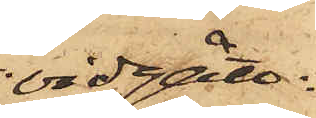vidgått
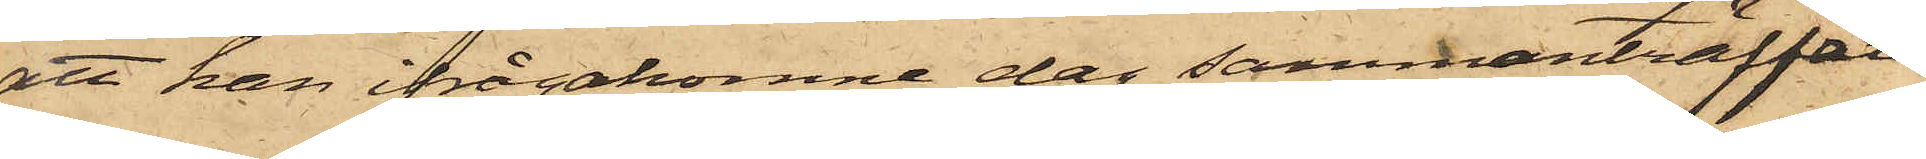att han ifrågakomne dag sammanträffat
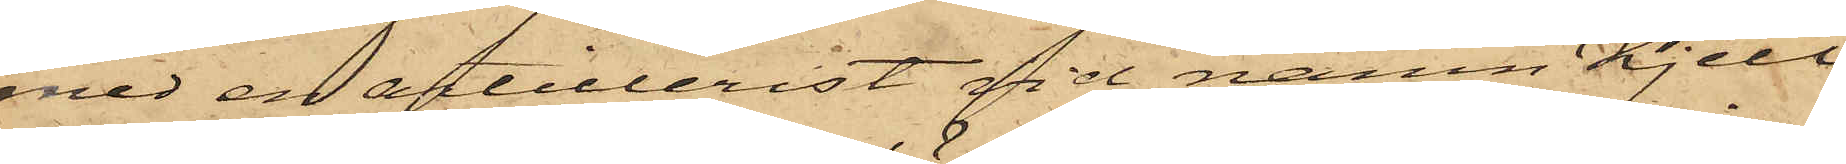med en artillerist vid namn Kjell¬
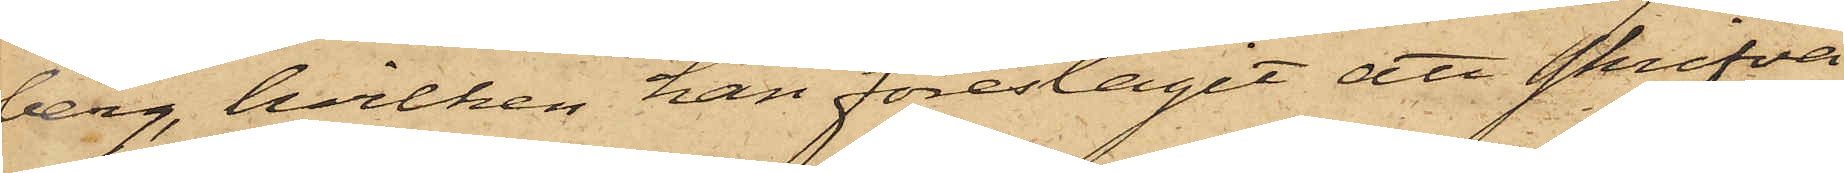berg, hvilken han föreslagit att skrifva
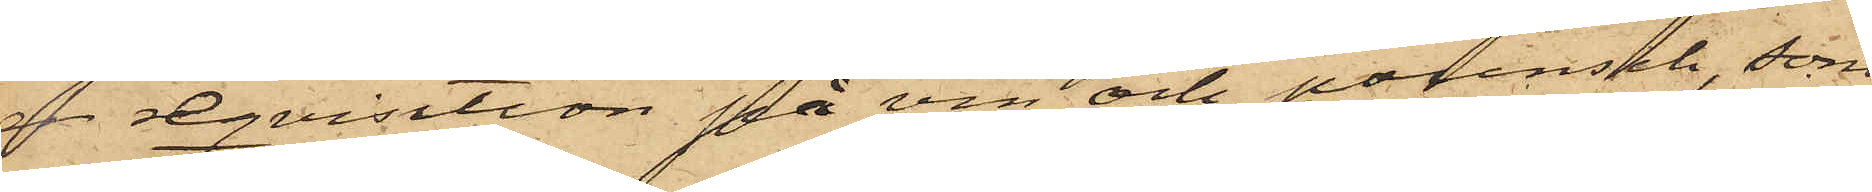en reqvisition på vin och pounsch, som
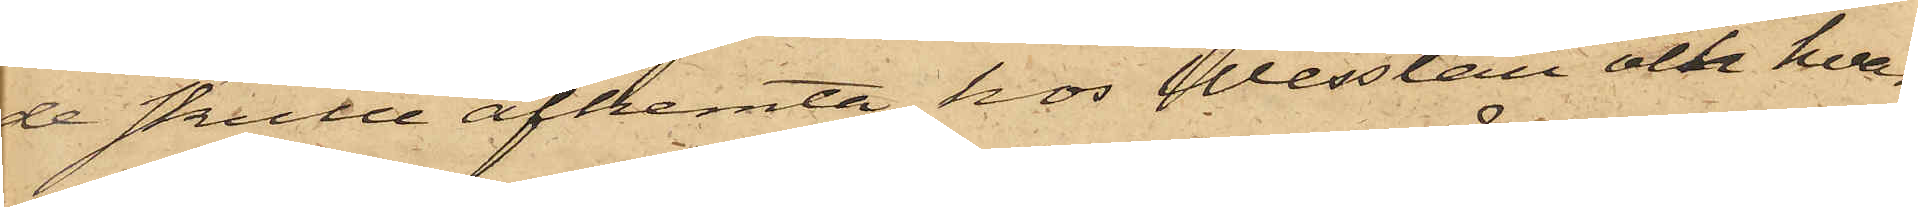de skulle afhemta hos Wesslau och hvar¬
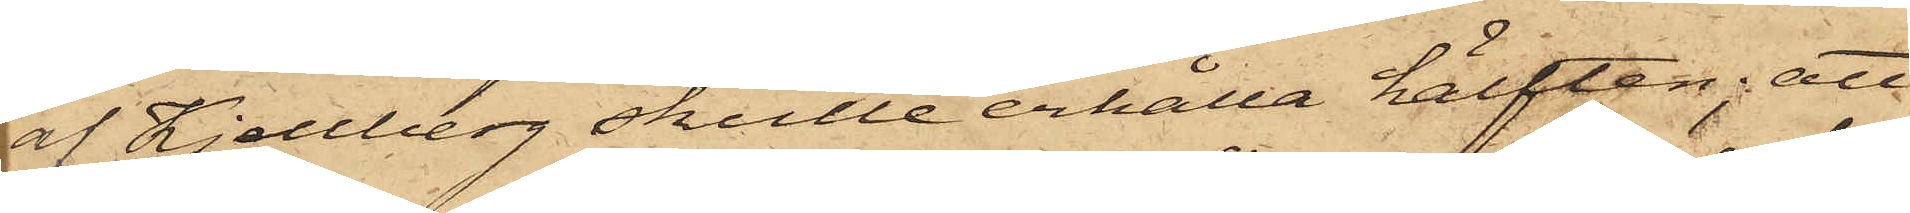af Kjellberg skulle erhålla hälften; att
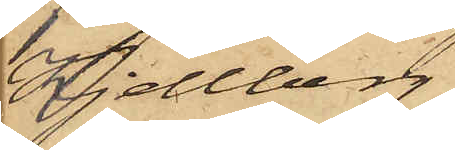Kjellberg
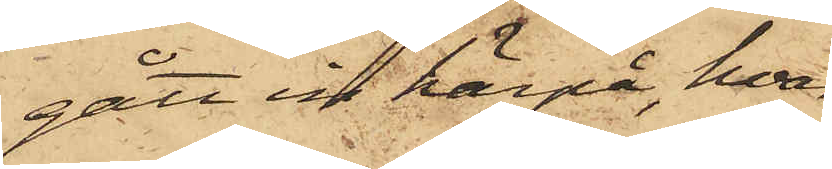gått in härpå, hvar¬
